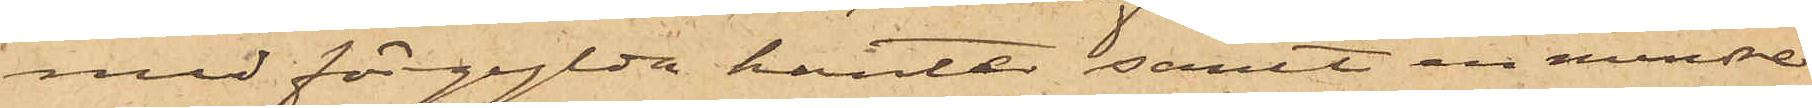med förgylda kanter samt en mindre
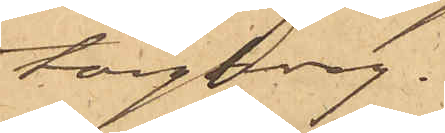torgkorg.
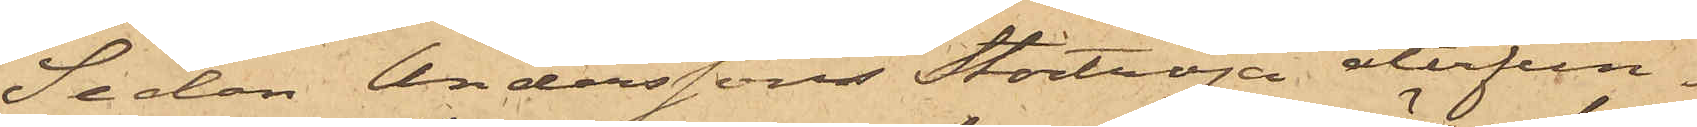Sedan Anderssons stortröja återfun¬
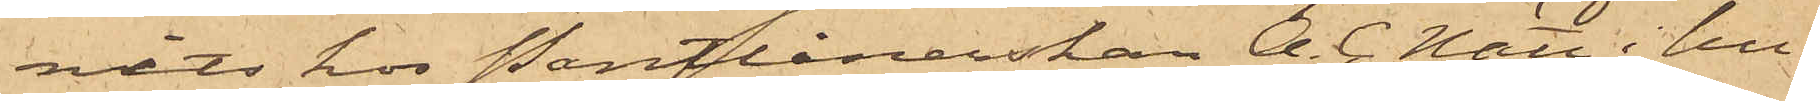nits hos Pantlånerskan A. C. Nätt i hu¬
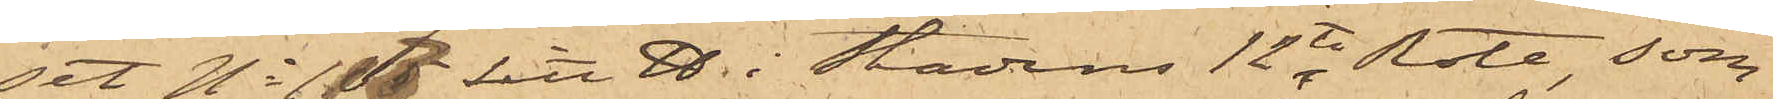set No 117 Litt D i Stadens 12te Rote, som
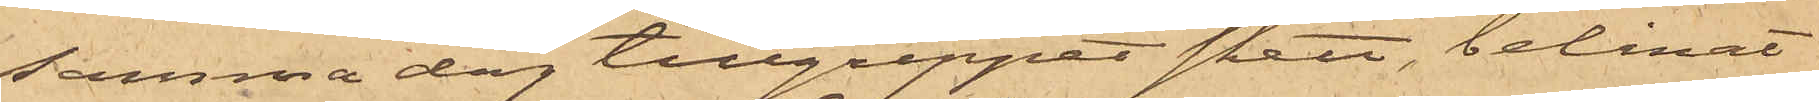samma dag tillgreppet skett, belånat
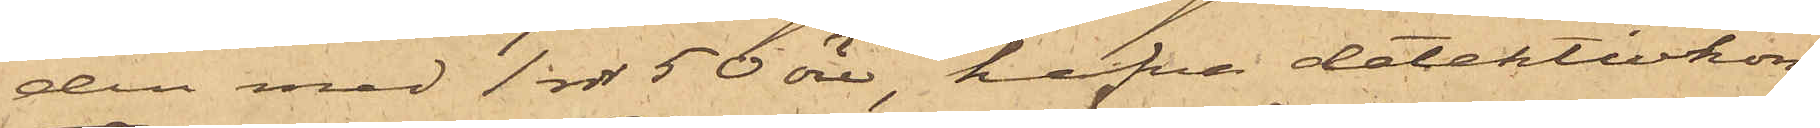den med 1 rdr 50 öre hafva detektivkon¬
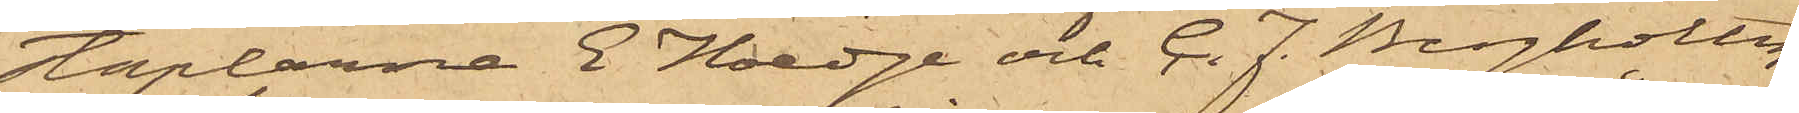staplarna E Hoedge och C. J. Bergholtz
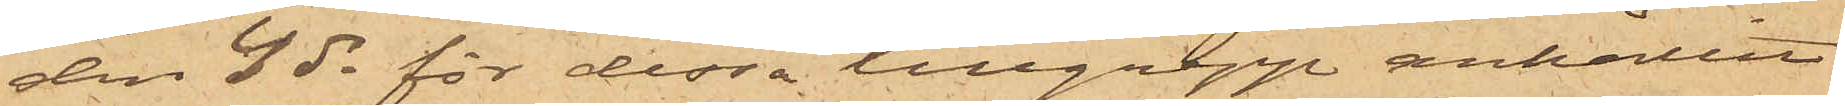den 4 ds för dessa tillgrepp anhållit
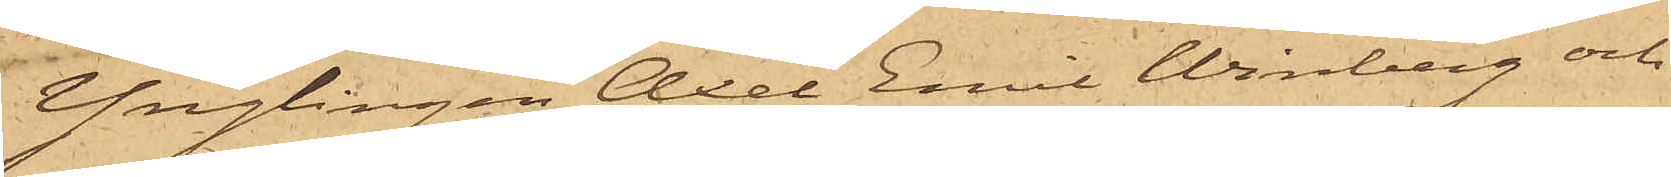Ynglingen Axel Emil Winberg och
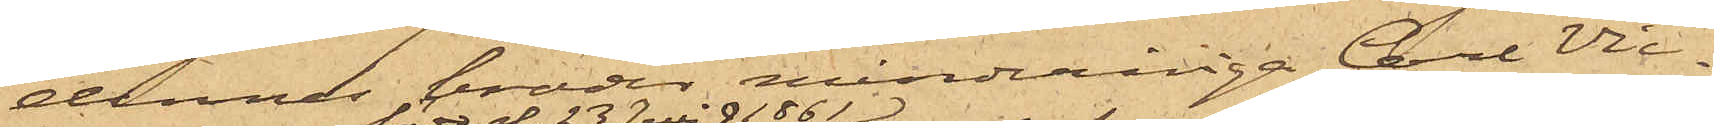dennes broder minderåriga Carl Vic¬
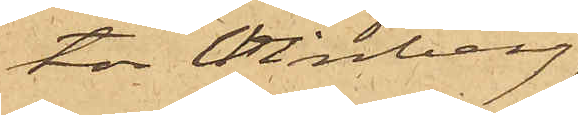tor Winberg
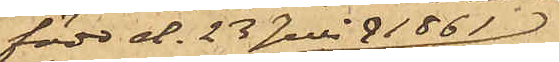född d. 23 Juli 1861,
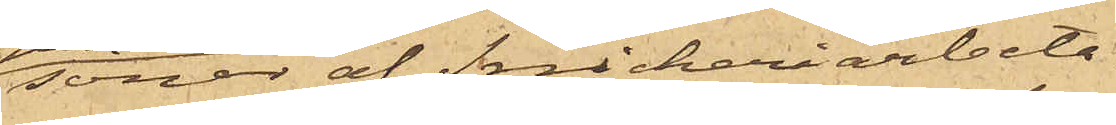söner af Snickeriarbeta¬
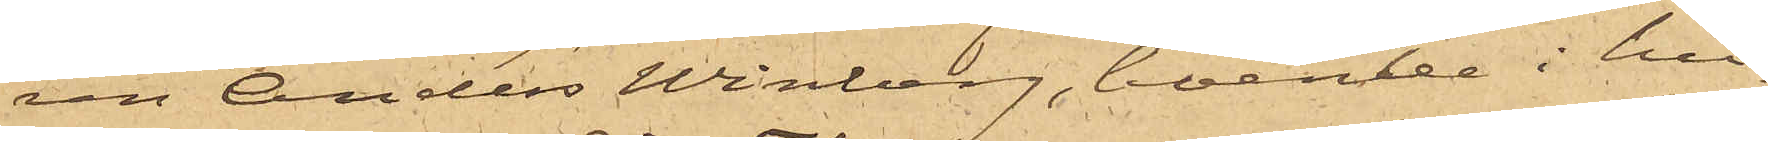ren Anders Winberg, boende i hu¬
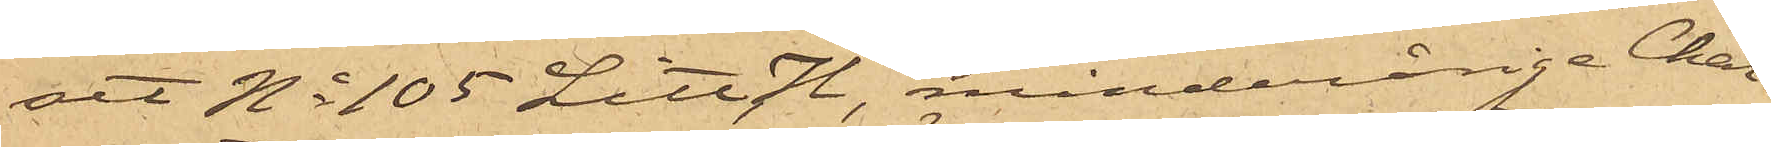set No 105 Litt H, minderårige Char¬
